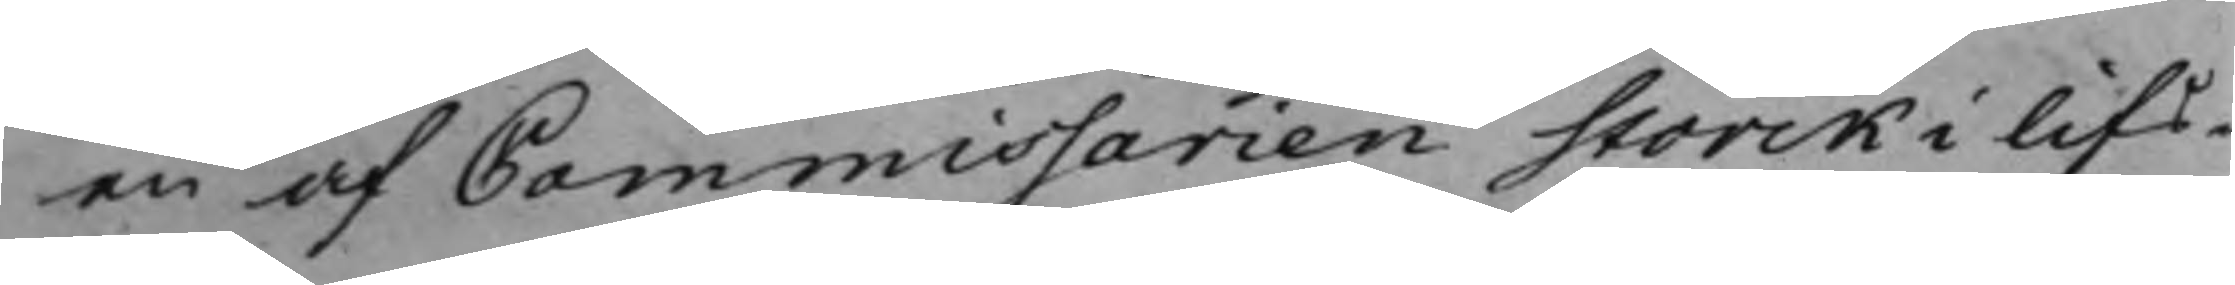en af Commissarien Storck i lifs¬
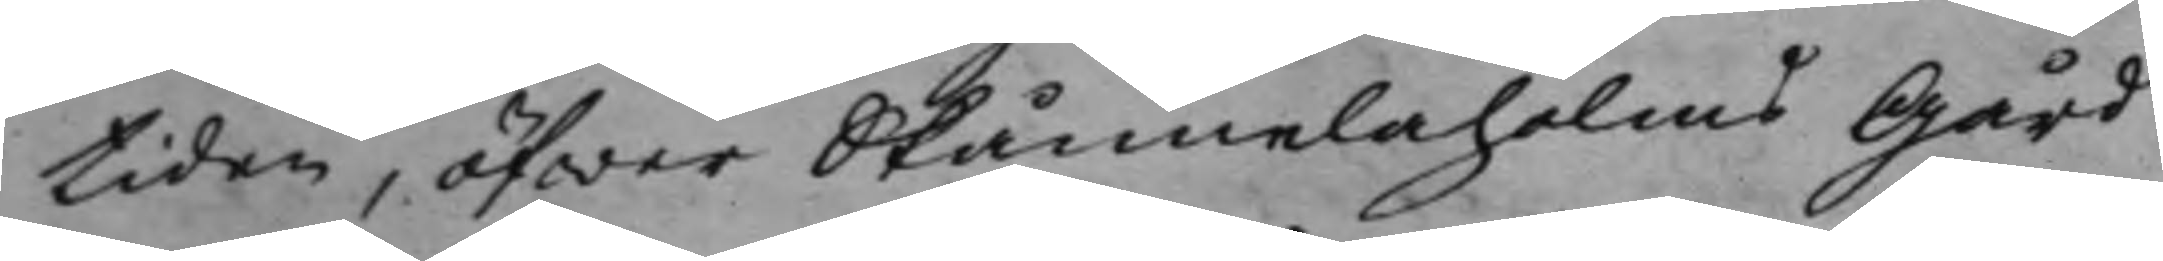tiden, öfwer Skånelaholms Gård
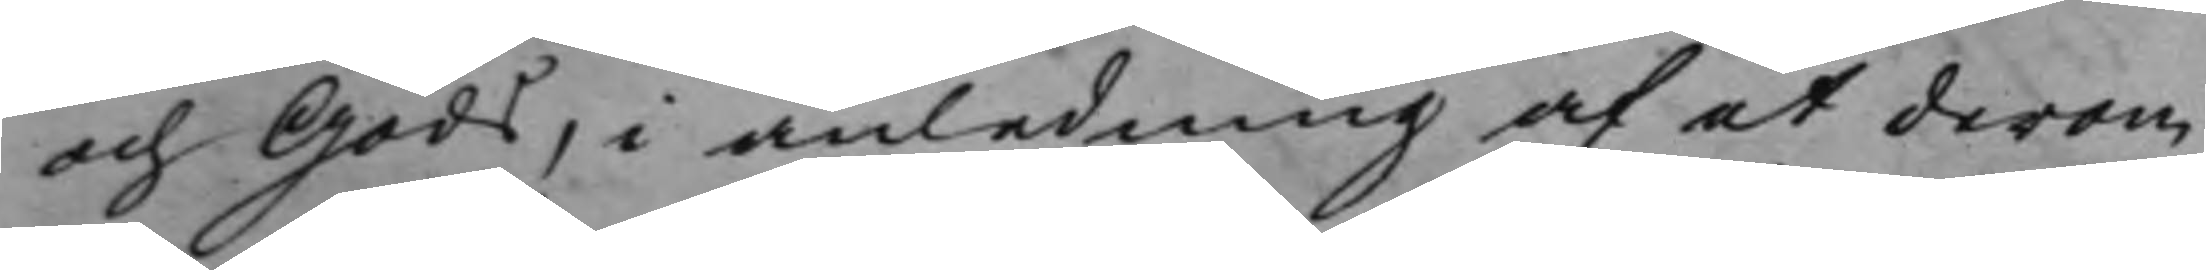och Gods, i anledning af et derom
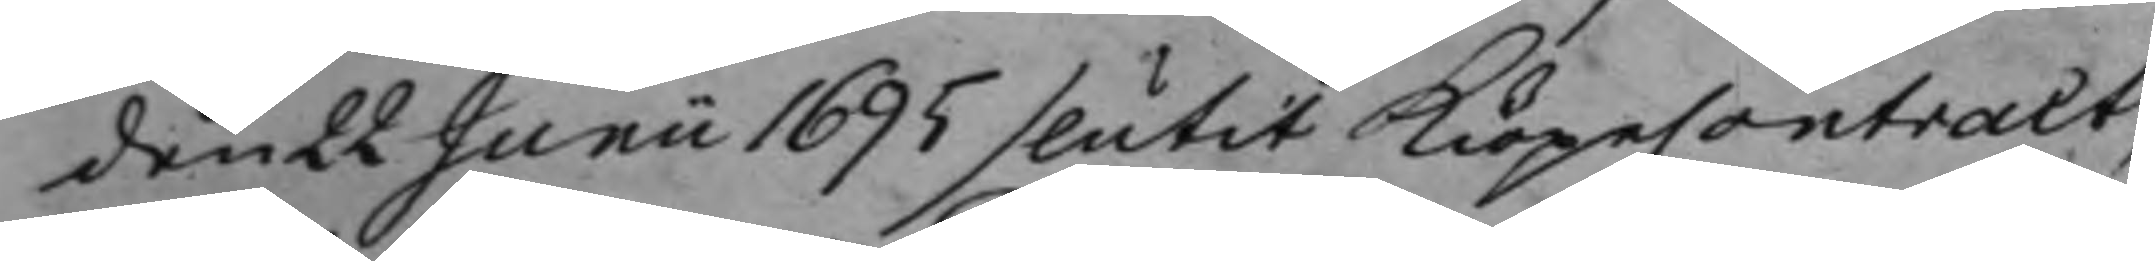den 22 Juni 1695 slutet KiöpeContract,
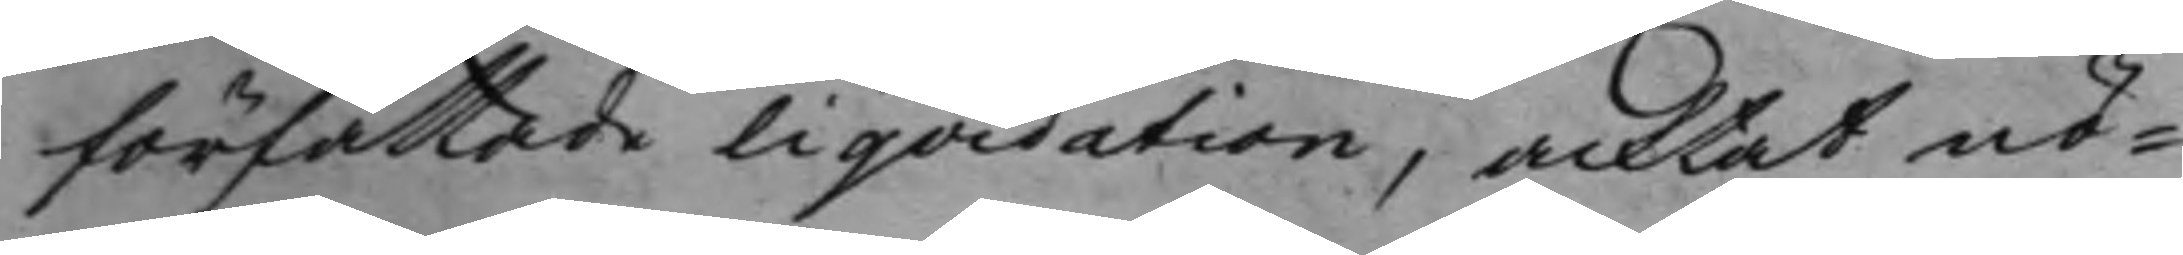författade liqvidation, acktat nö¬
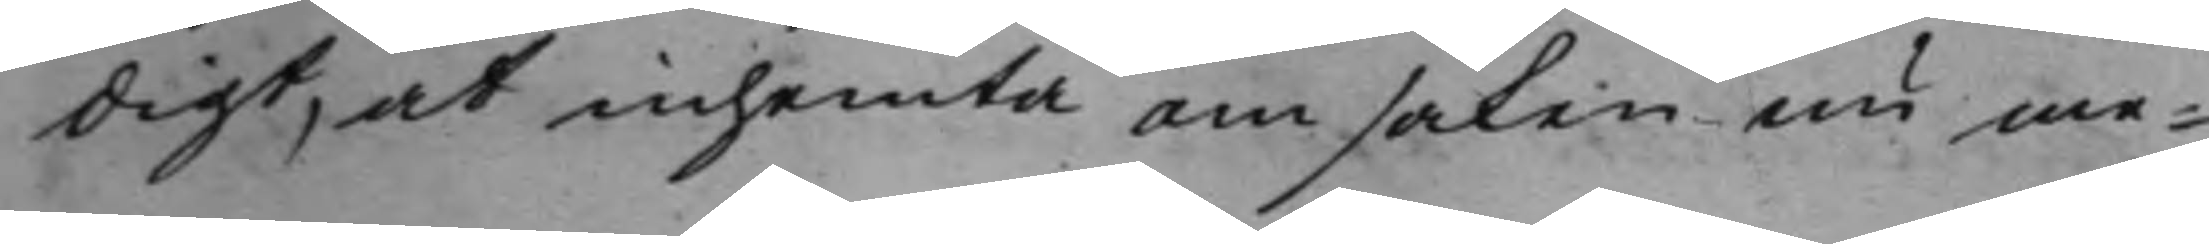digt, at inhemta om saken nu me¬
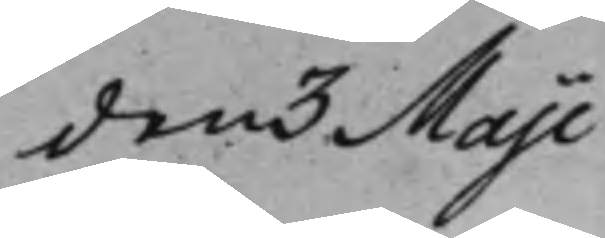den 3 Maji
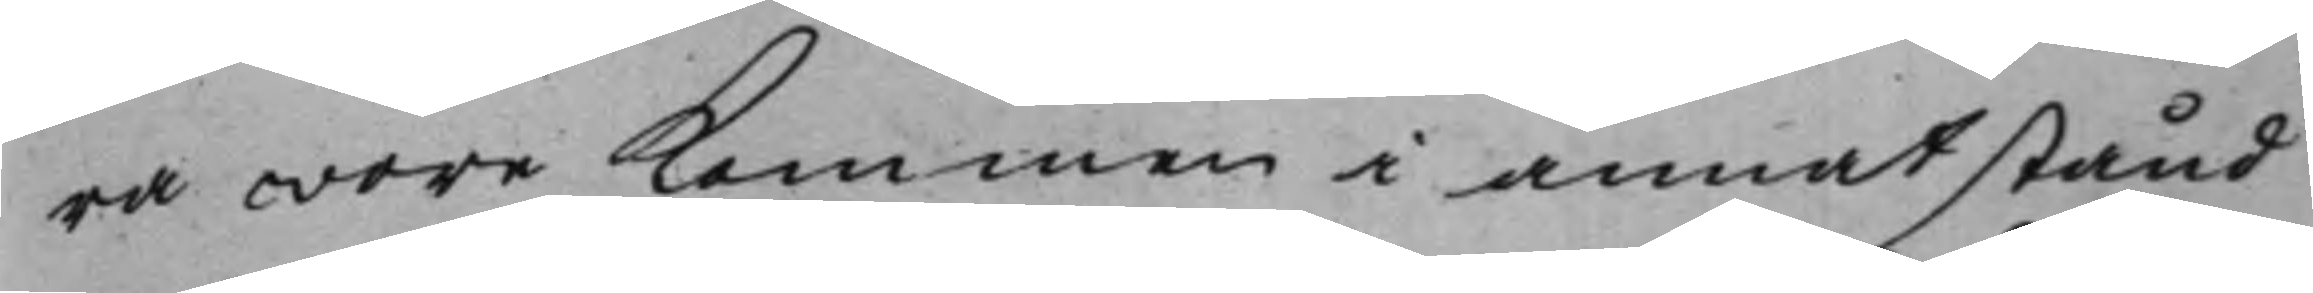ra wore Kommen i ett annat stånd
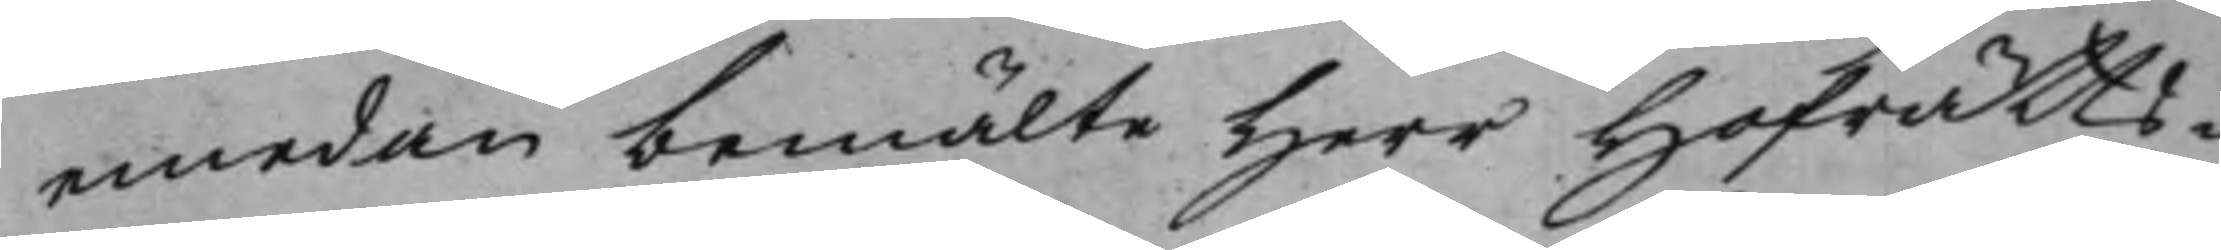emedan bemälte Herr Hofrätts¬
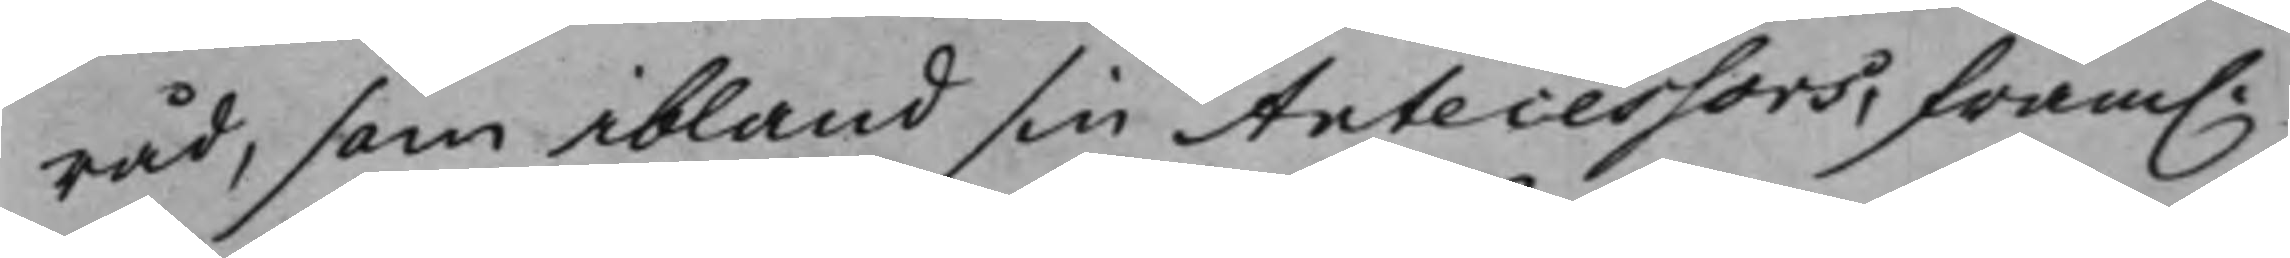råd, som ibland sin antecessors, fram.
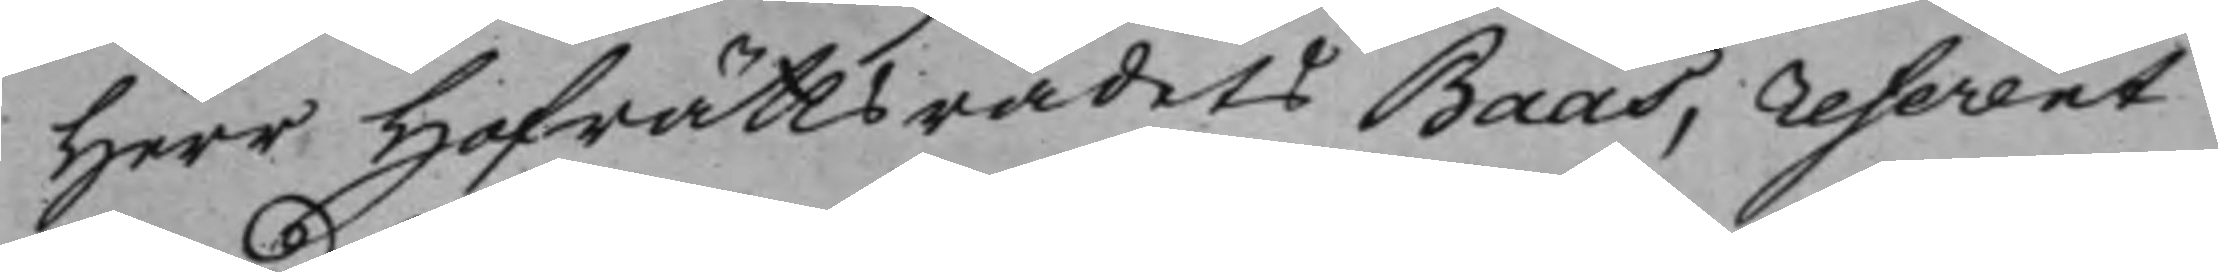Herr Hofrättsrådets Baas, referent
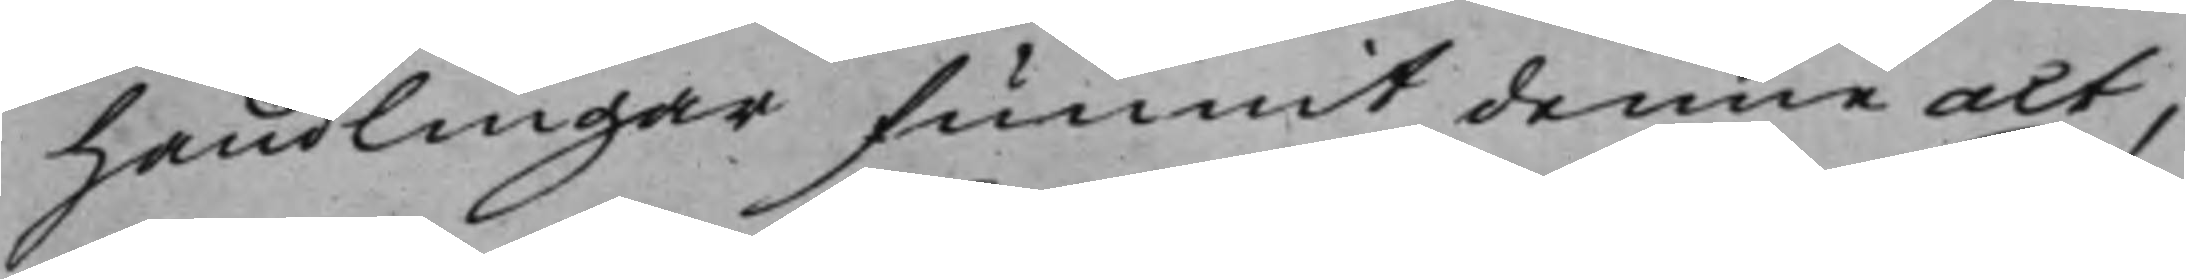handlingar funnit denne act,
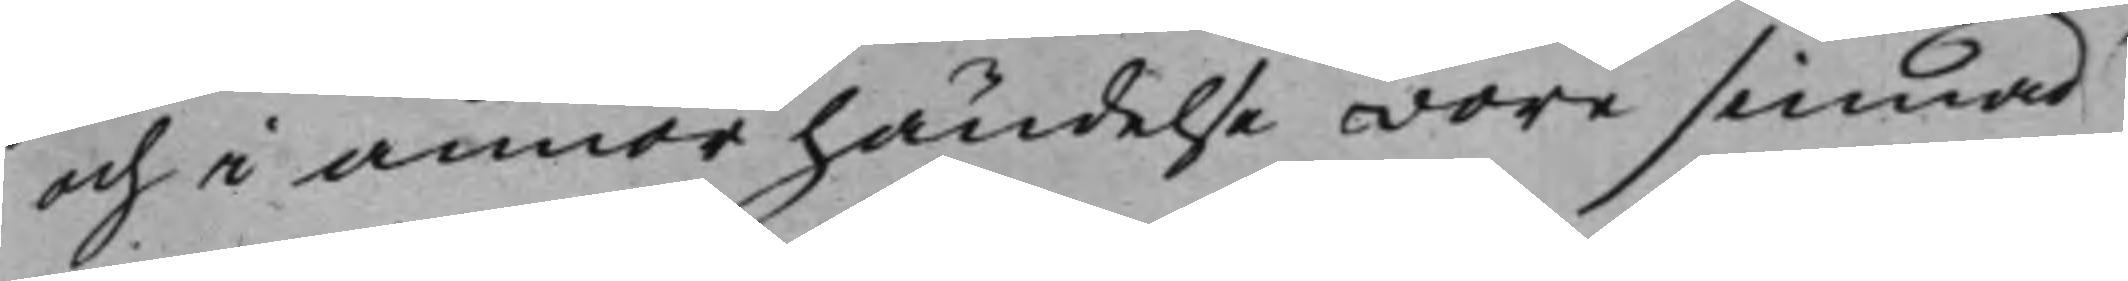och i annor händelse wore sinnad
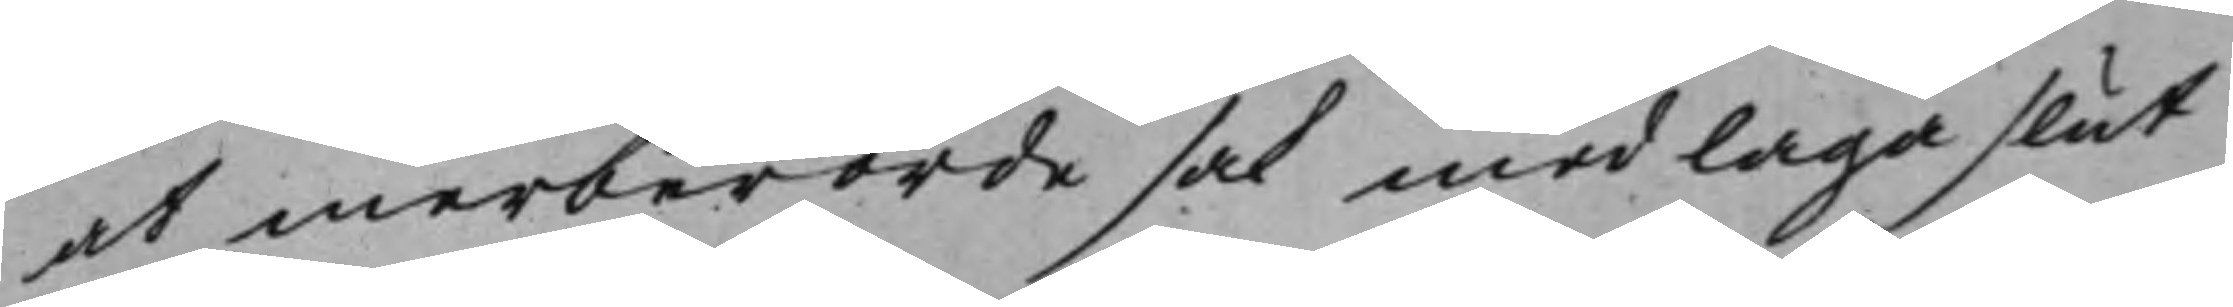at merberörde sak med laga slut
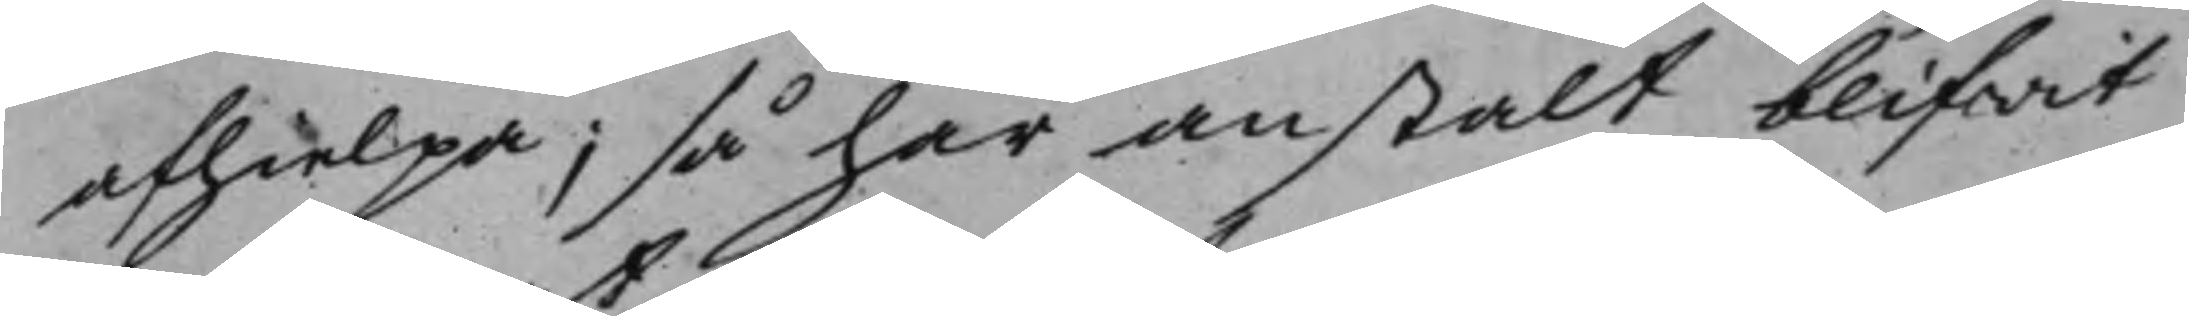afhielpa; så har anstalt blifwit
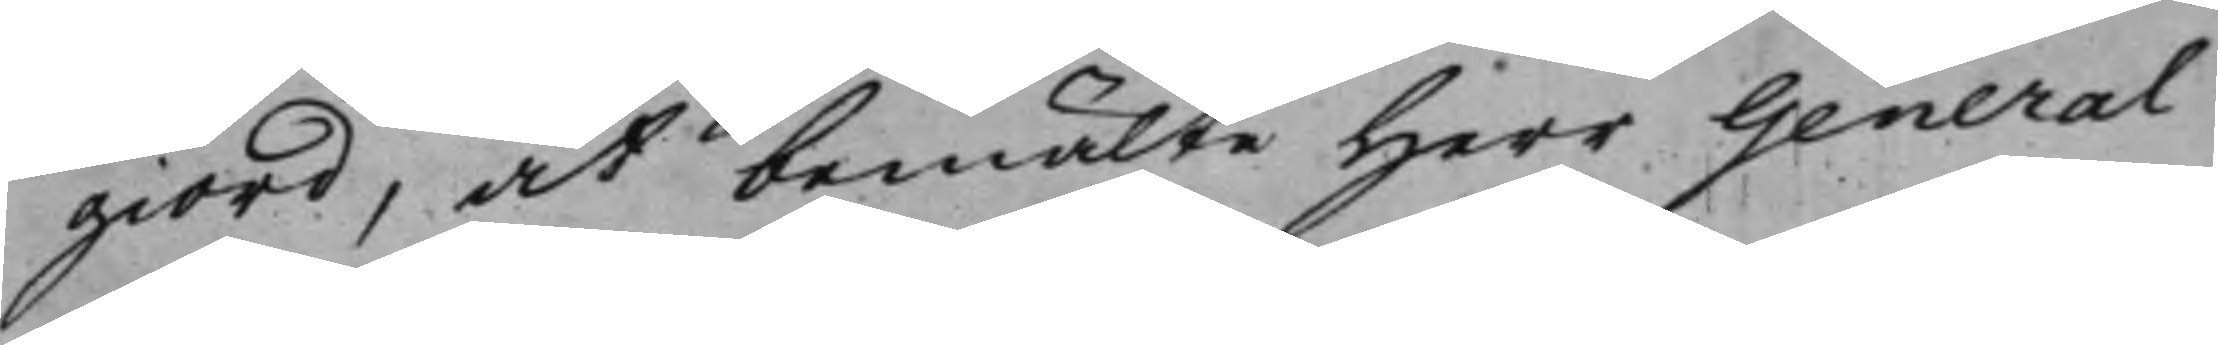giord, at bemälte Herr General¬
